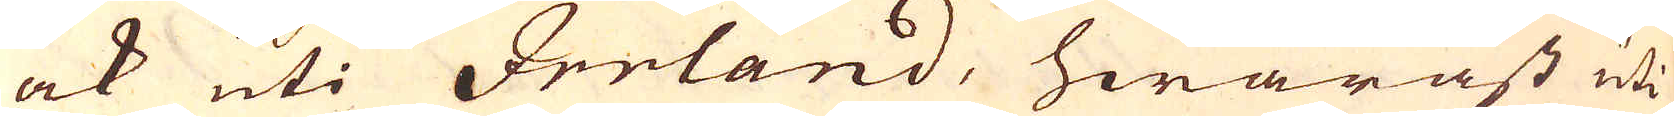ock uti Irrland, hwaräst uti
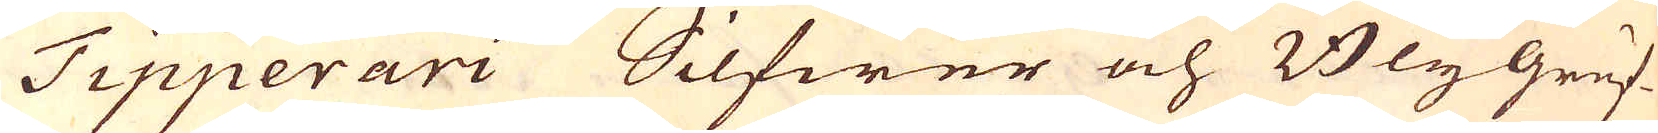Tipperari Silfwer och Blygruf-
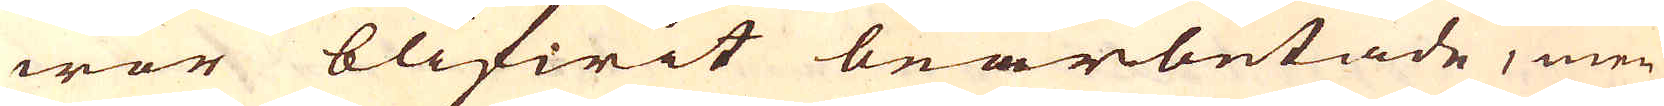wor blifwit bearbetade, men
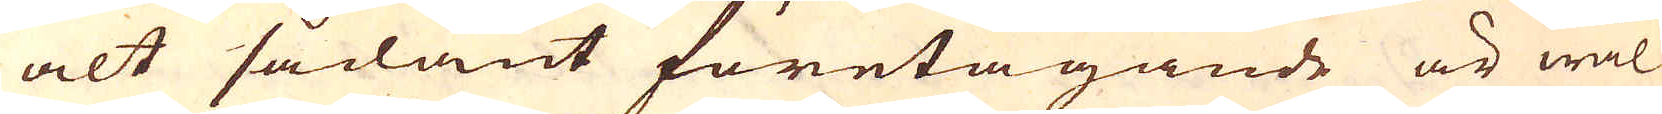alt sådant företagande är wäl
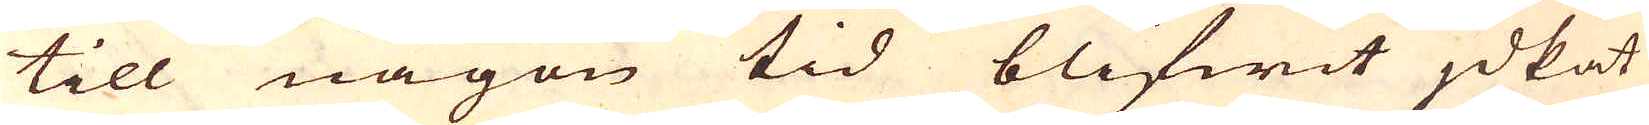till någon tid blifwit jdkat
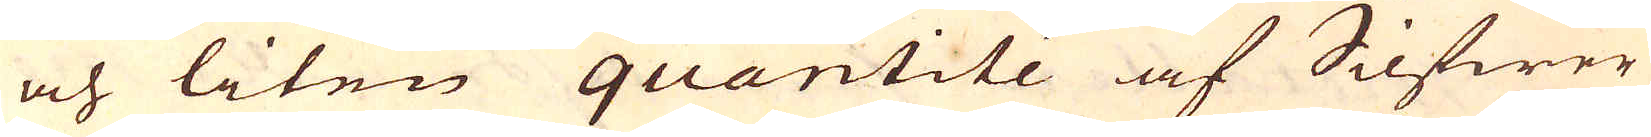och liten quantité af Silfwer
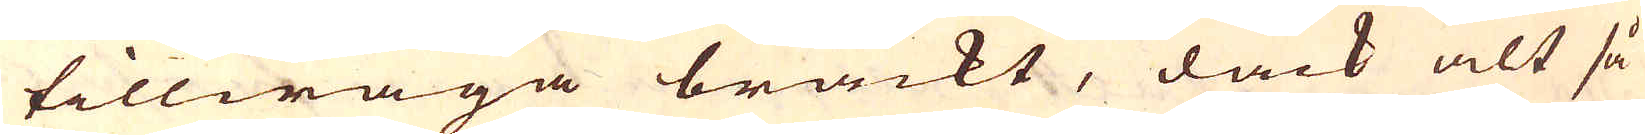tillwäga brackt, dåck alt så
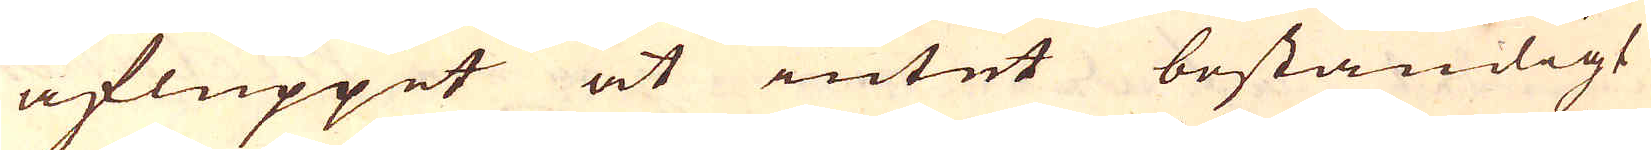afluppit at intet beständigt
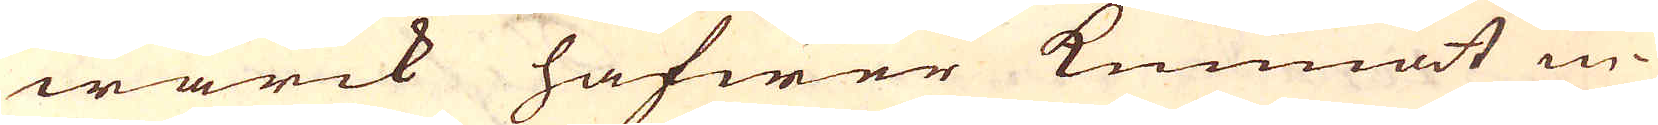wärck hafwer kunnat in-
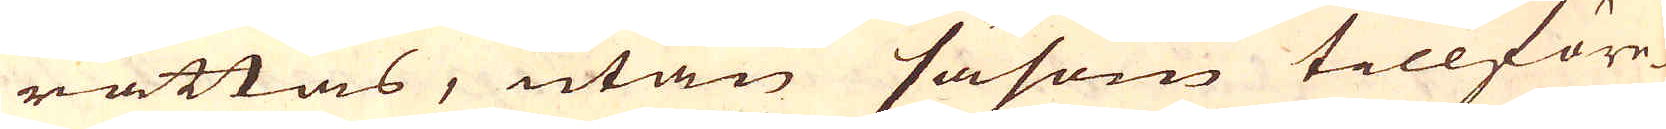rättas, utan såsom tillföre-
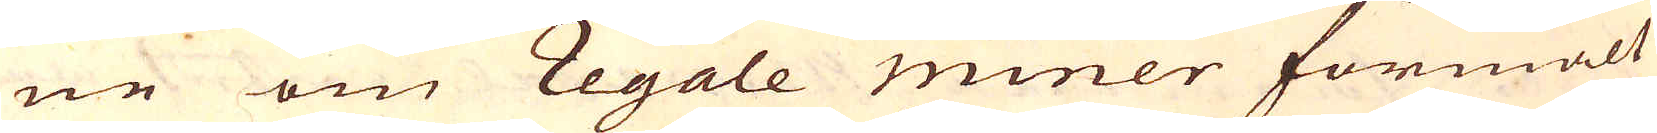ne om Regale miner förmält
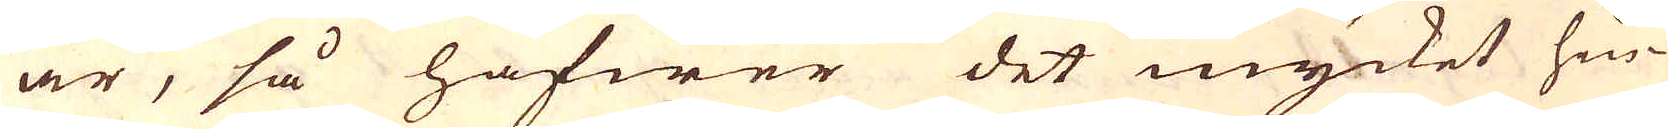är, så hafwer det mycket hin-
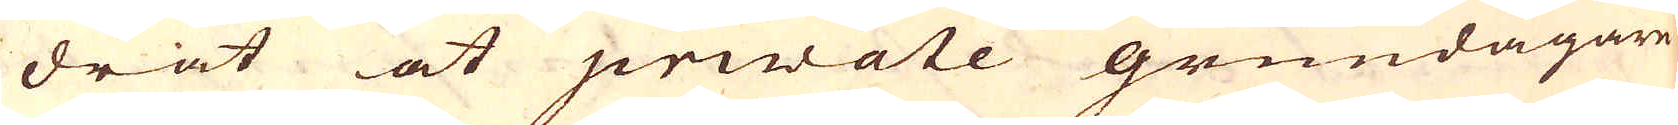drat at private grundägare
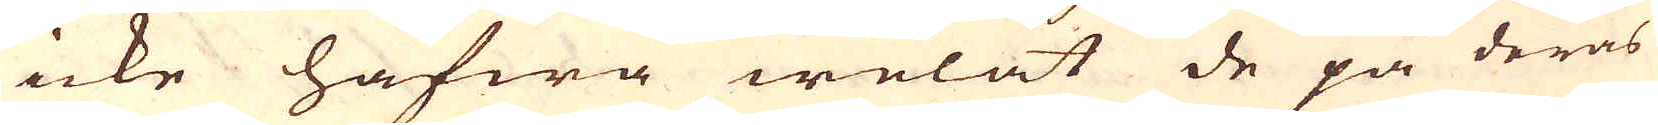icke hafwa welat de på deras
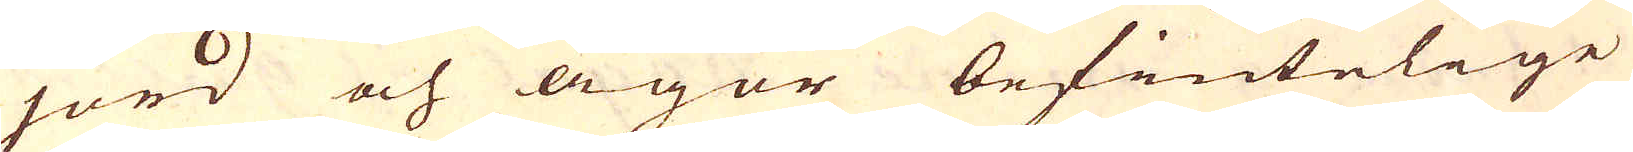jord och ägor befintelige
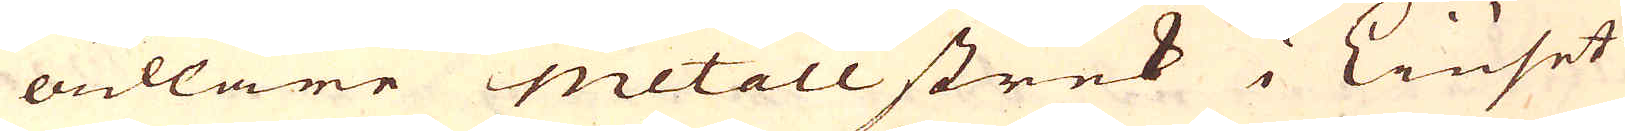ädlare metall strek i Liuset
